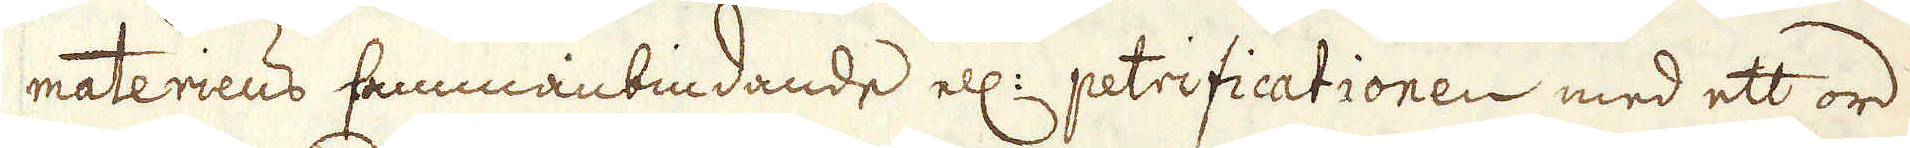materiens sammanbindande ell: petrificationen med ett ord
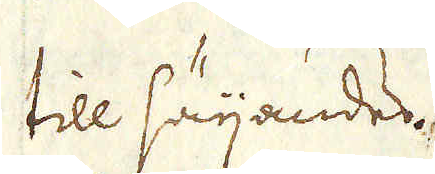till säijandes.
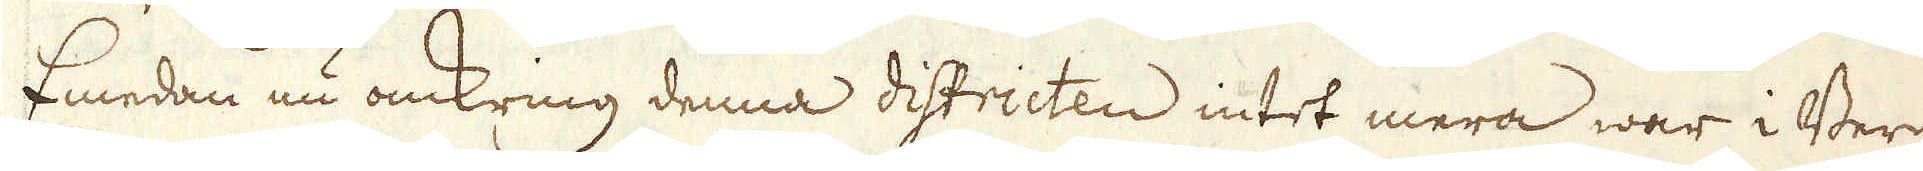Emedan nu omkring denna districten intet mera war i Berg-
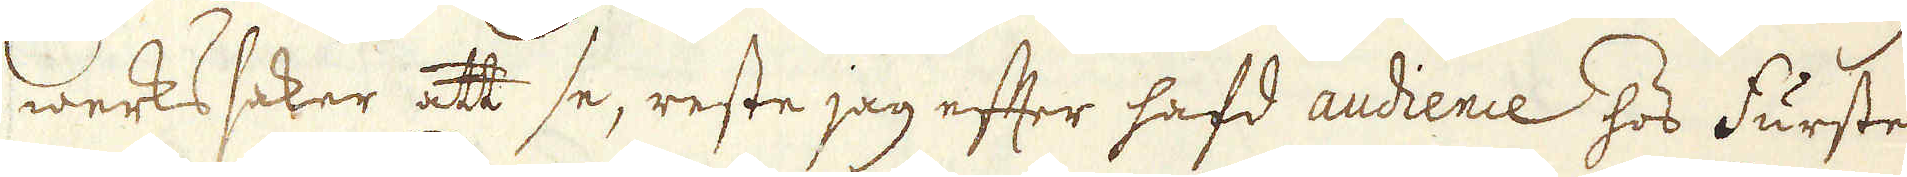werkssaker att se, reste jag efter hafd audience hos Fursten
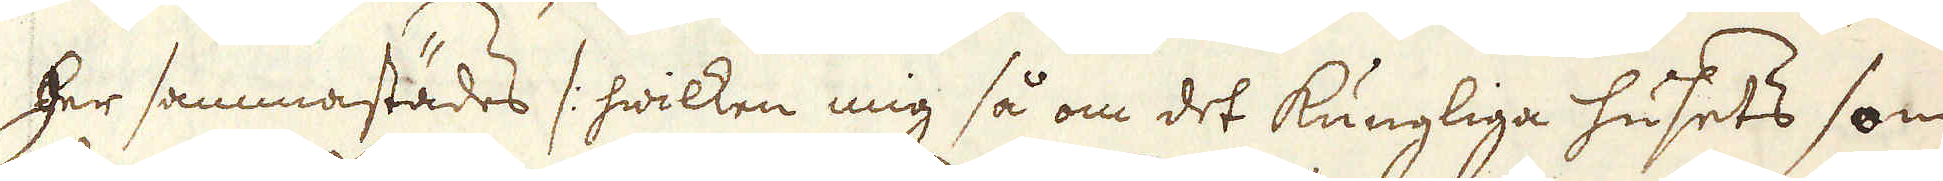her sammastädes /: hwilken mig så om det Kungliga husets som
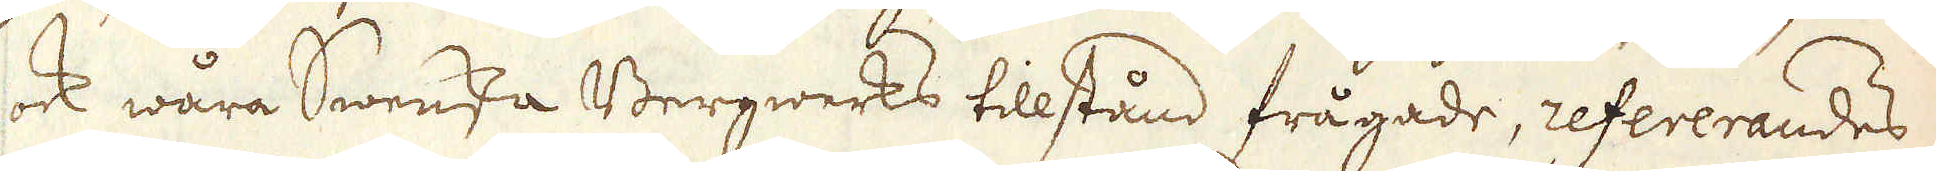ock wåra Swenska Bergwerks tillstånd frågade, refererandes
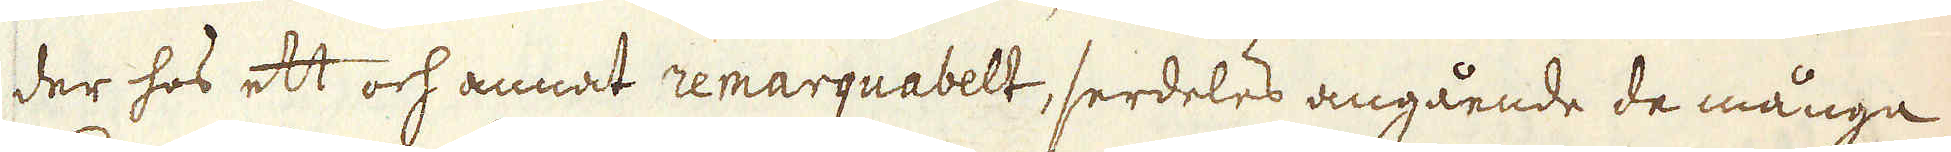der hos ett och annat remarquabelt, serdeles angående de många
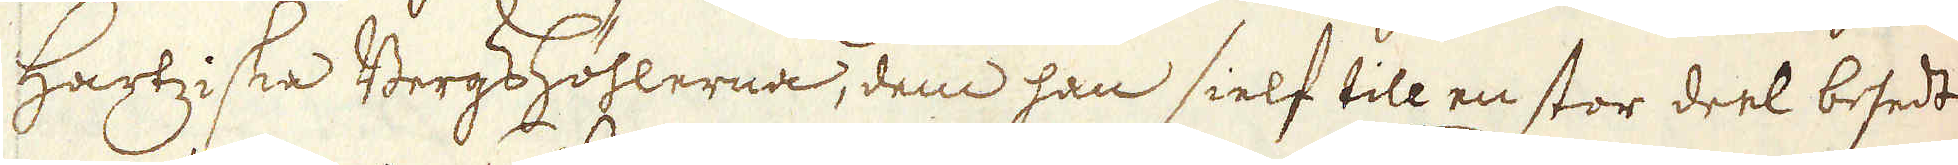Hartziske Bergshöhlerna, dem han sielf till en stor deel besedt
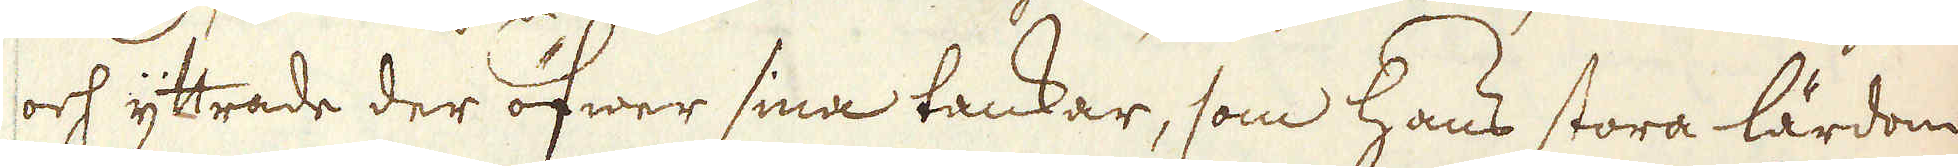och yttrade der öfwer sina tankar, som hans stora lärdom
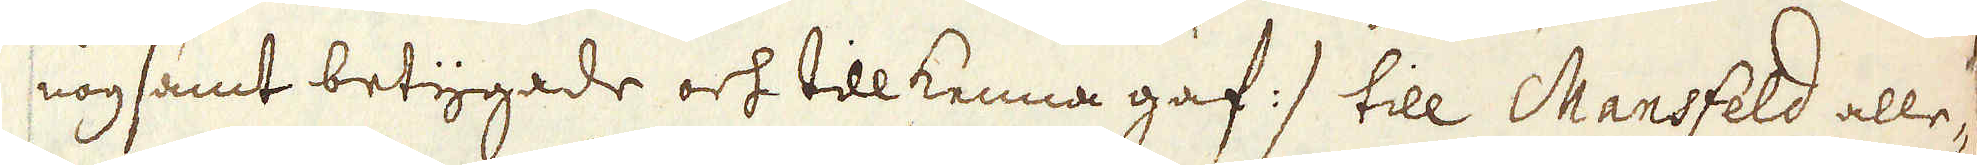nogsamt betygade och tillkenna gaf :/ till Mansfeld alle-
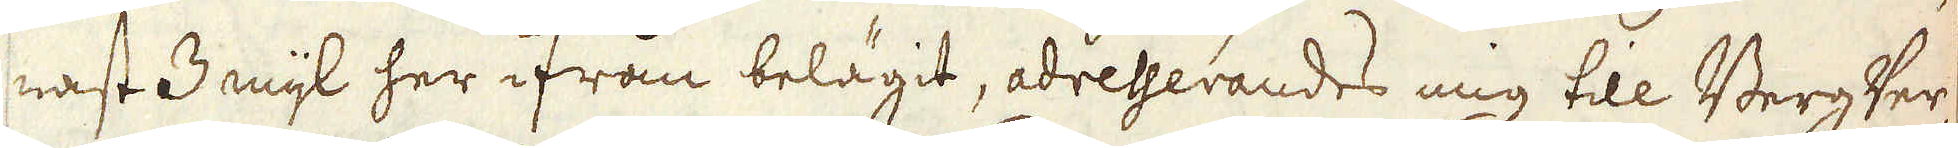nast 3 mijl her ifrån belägit, adresserandes mig till BergVer-
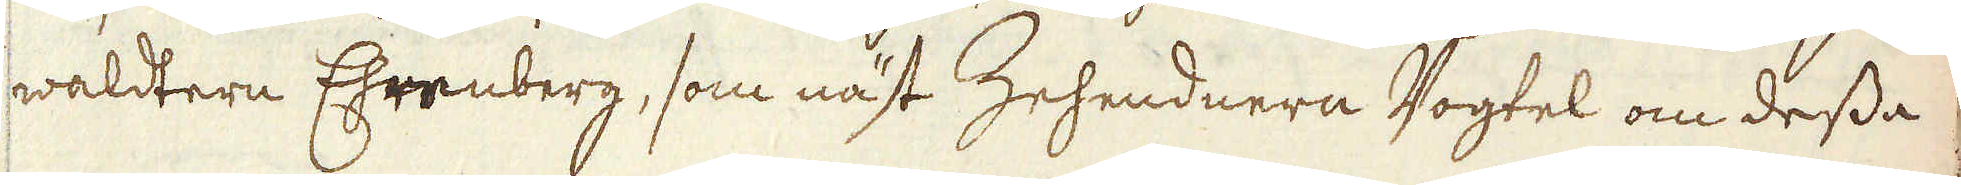waldtern Ehrenberg, som näst Zehendnern Vogtel om dessa
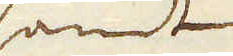samt
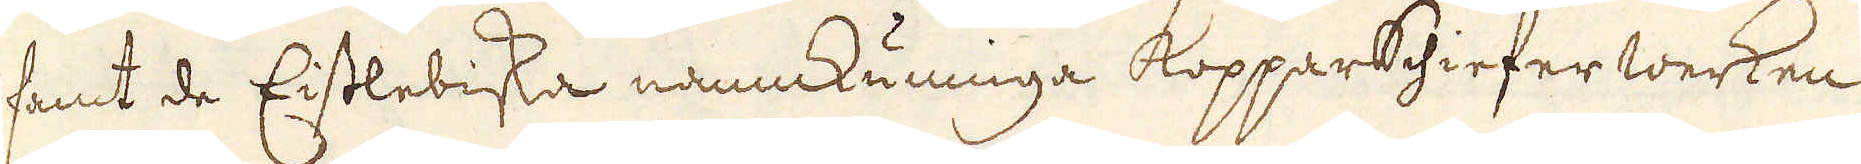samt de Eislebiska namnkunniga Kopparschiefer werken
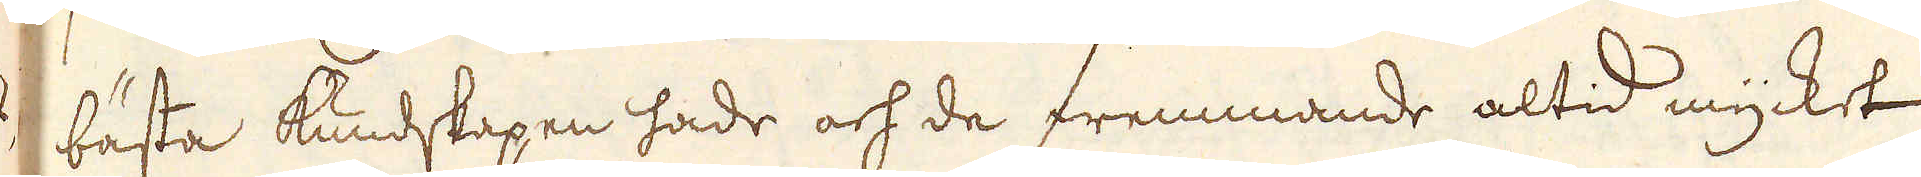bästa kundskapen hade och de fremmande altid mycket
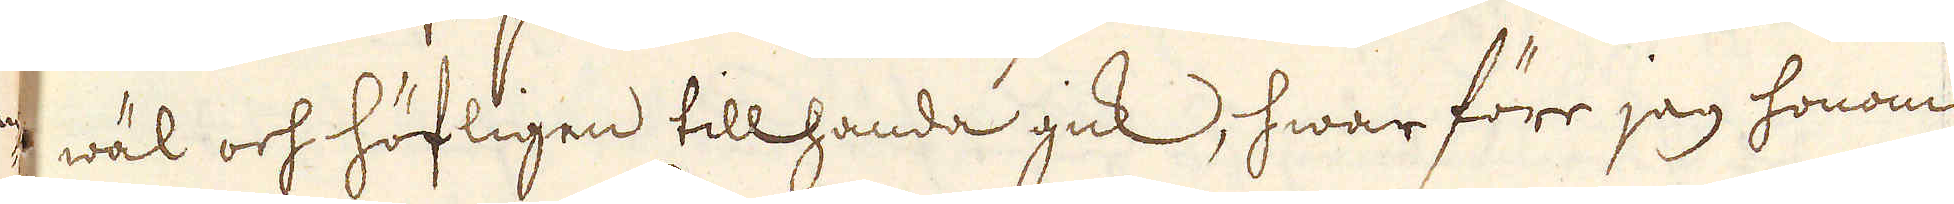wäl och höfligen tillhanda gick, hwar före jag honom
